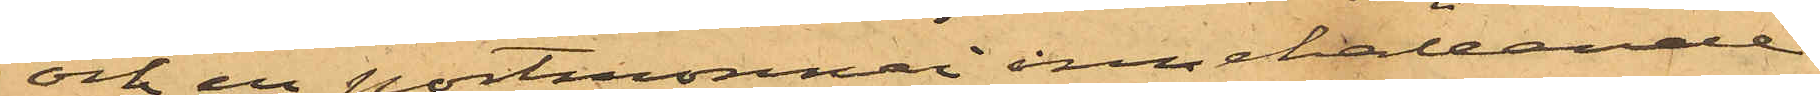och en portmonnai innehållande
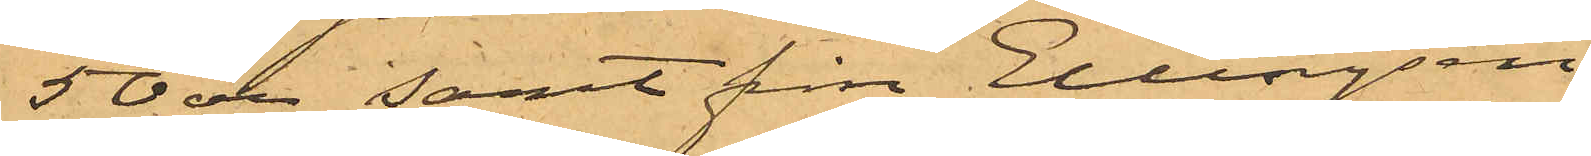50 öre samt från Ellingsen
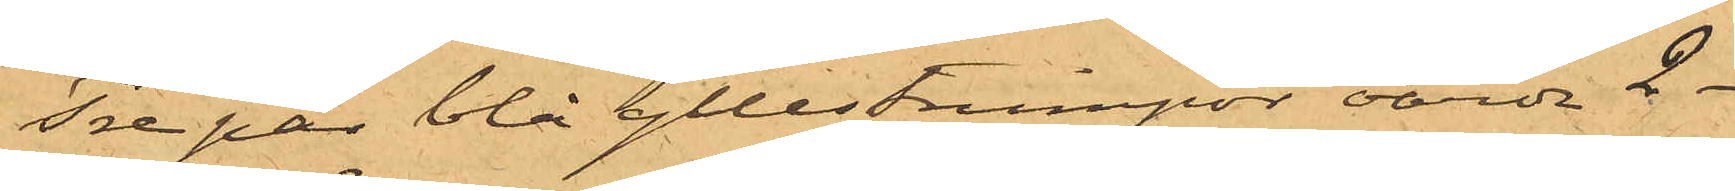Tre par blå yllestrumpor, värda 2 -
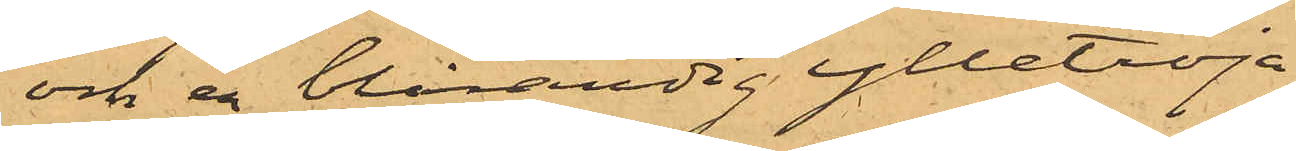och en blårandig ylletröja
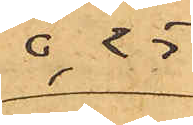0,25
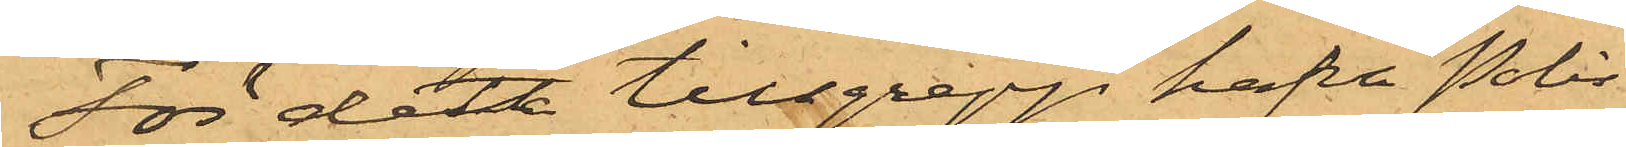För det tillgrepp hafva Polis¬
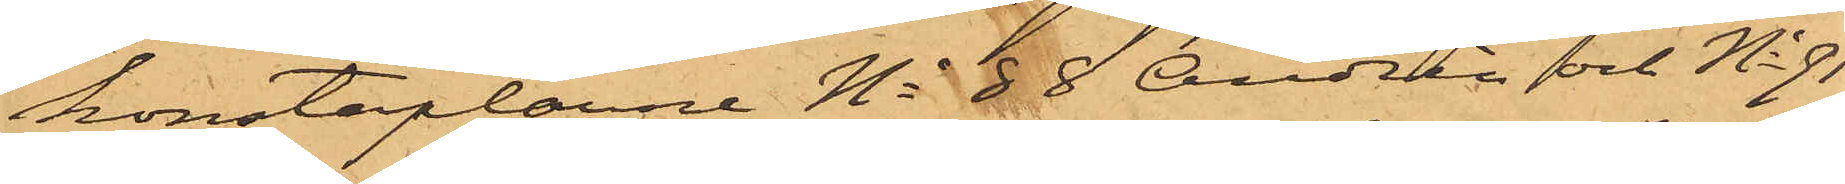konstaplarne No 88 Andrén och No 91
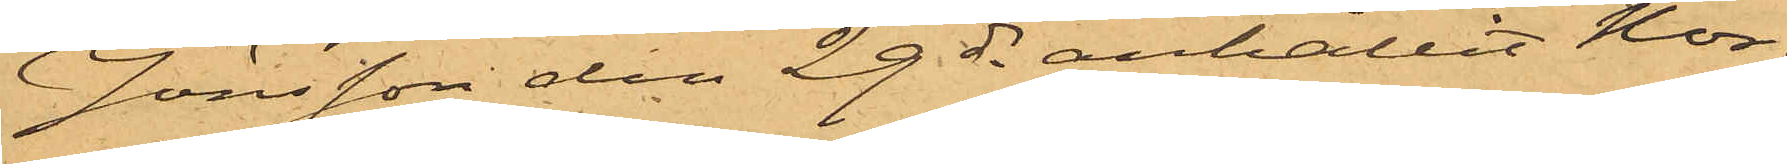Jönsson den 29 ds anhållit Nor¬
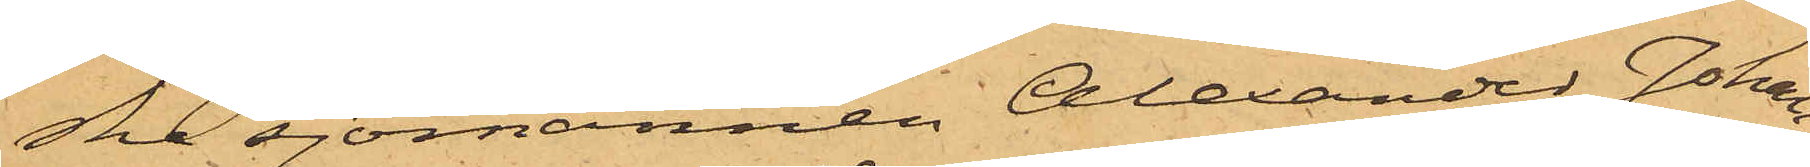ska sjömannen Alexander Johan¬
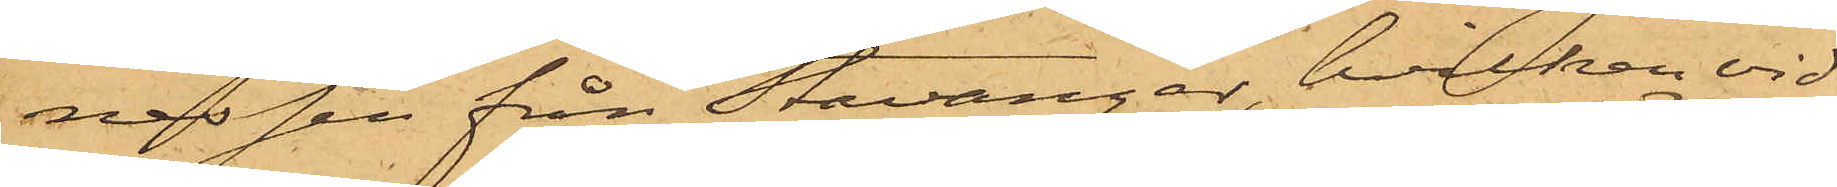nessen från Stavanger, hvilken vid
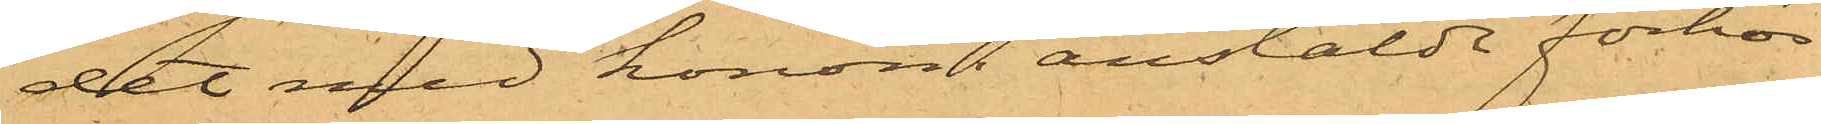det med honom anstälde förhör
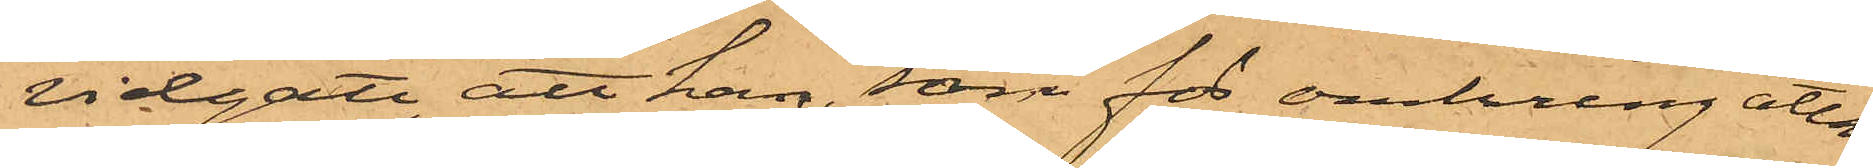vidgått, att han, som för omkring åtta
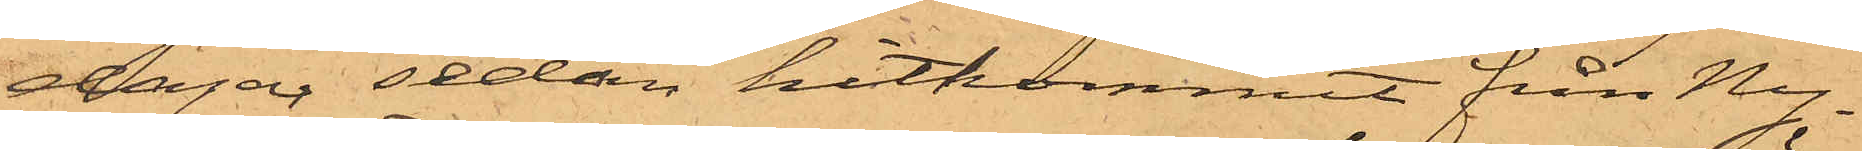dagar sedan hitkommit från Ny¬
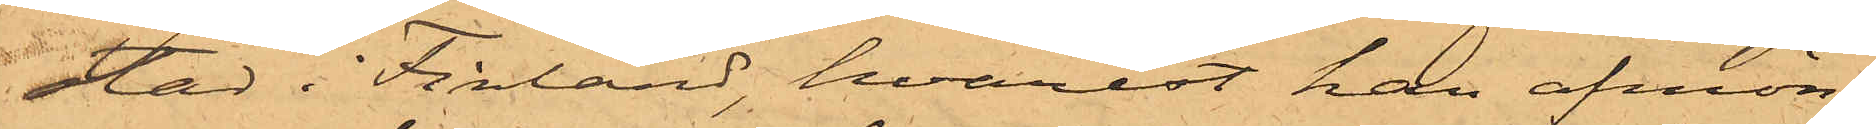stad i Finland, hvarest han afmön¬
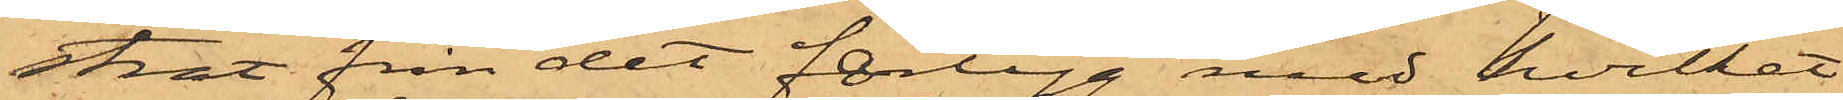strat från det fartyg med hvilket
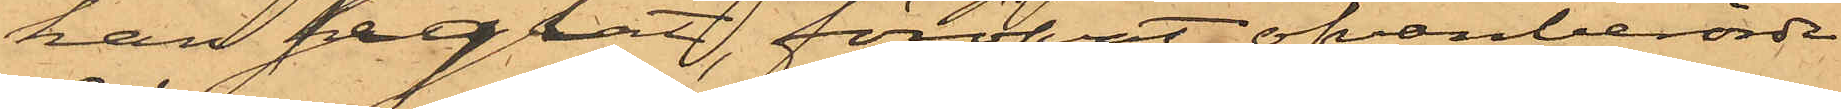han seglat, föröfvat ofvanberörde
